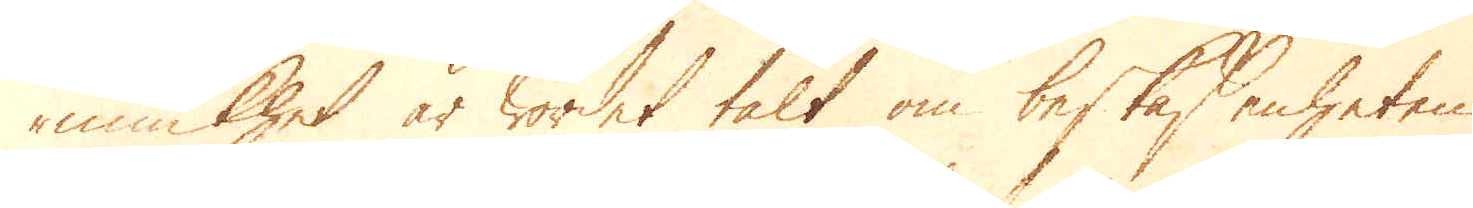miukhet är wordet talt om beskaffenheten
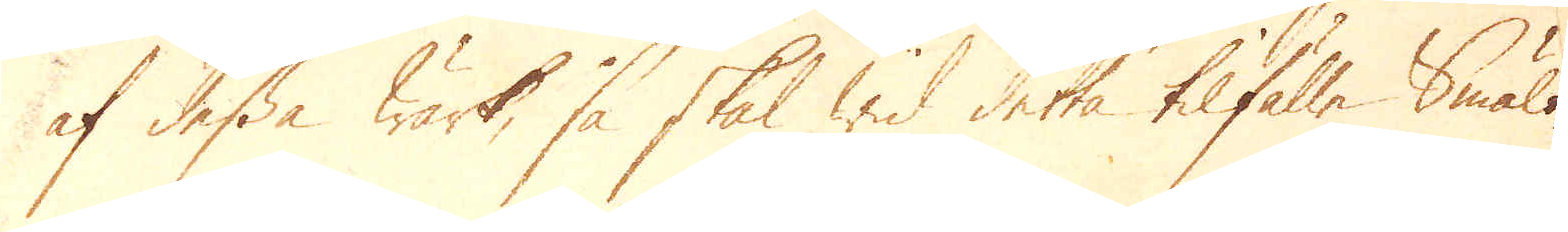af desse wärk, så skal wid detta tilfälle smält-
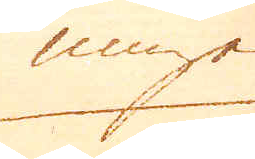ninge
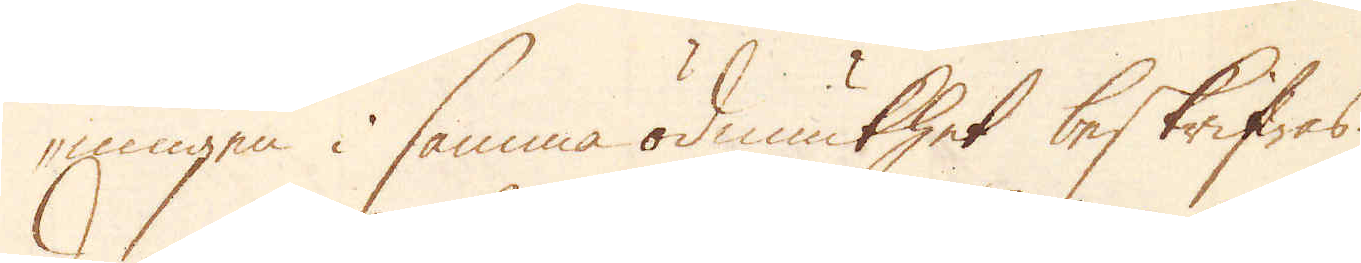ningen i samma ödmiukhet beskrifwas.
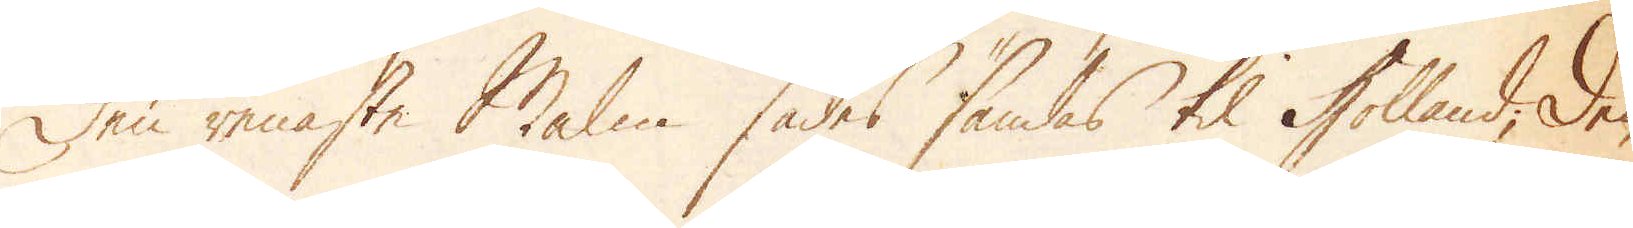Den meste Malm sades sändas til Holland; De
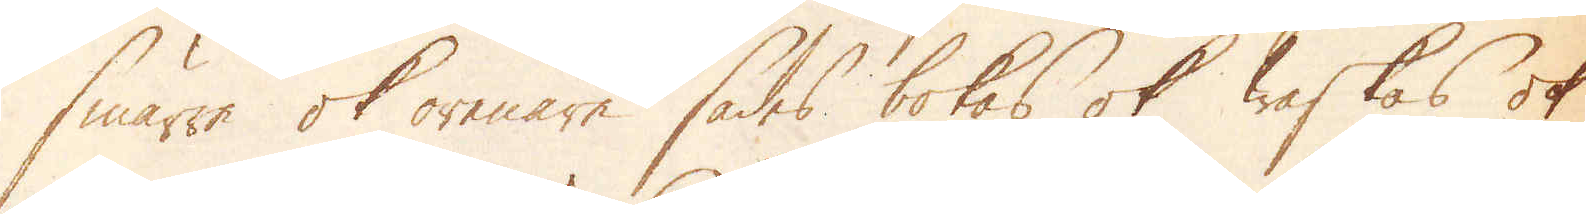smärre ok orenare sades bokas ok rostas ok
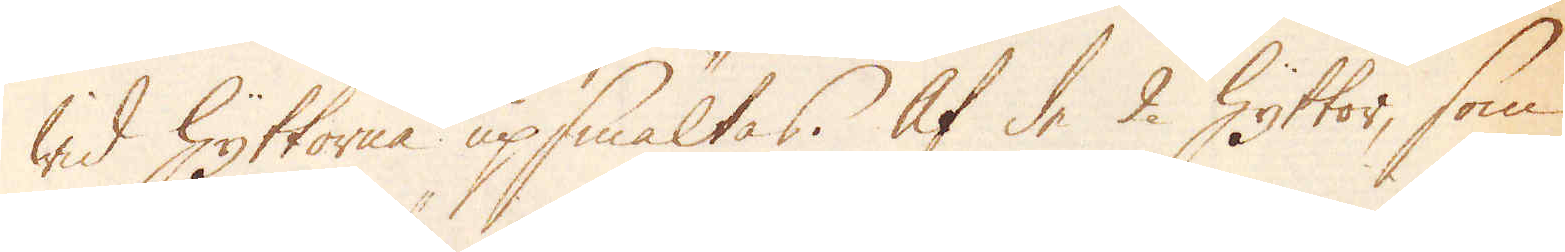wid Hyttorne upsmältas. Af de 2 Hyttor, som
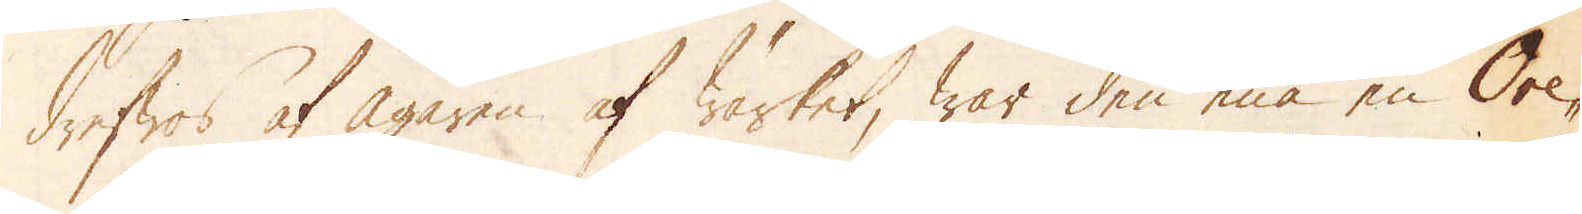drifwes af ägaren af wärket, har den ena en Ore-
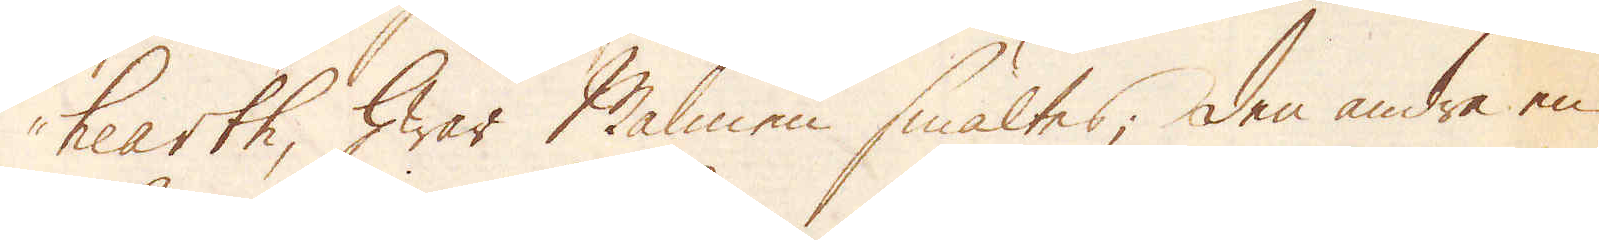hearth, hwar Malmen smältes; den andre en
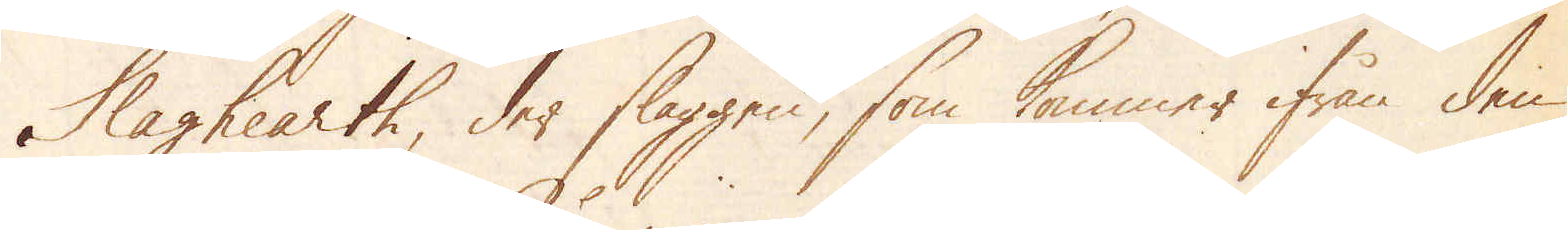Slaghearth, der slaggen, som kommer ifrån den
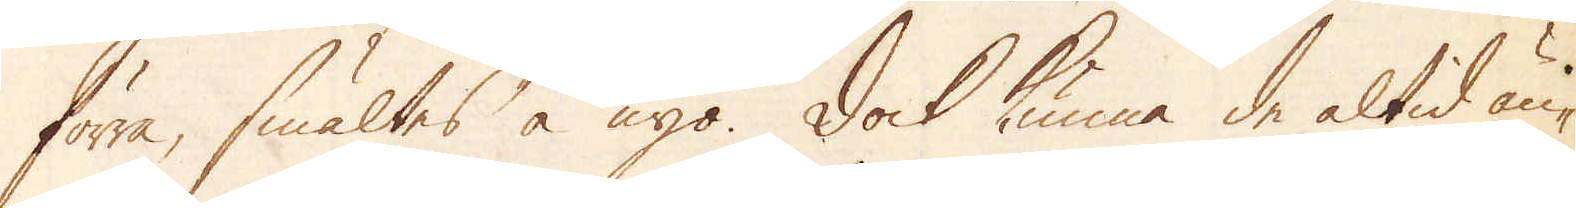förra, smältes å nyo. Dock kunna de altid än-
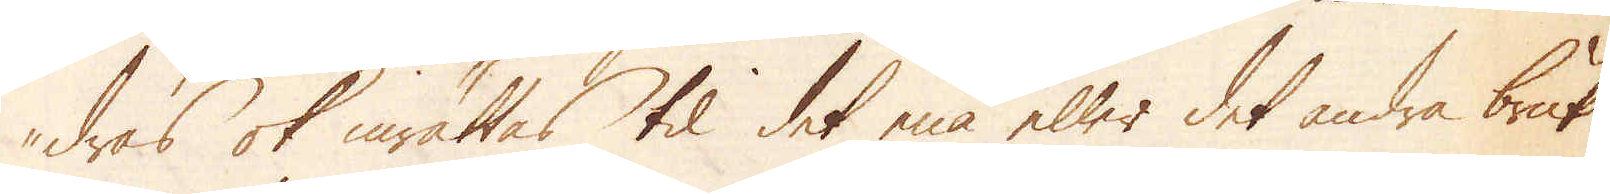dras ok inrättas til det ena eller det andra bruk.
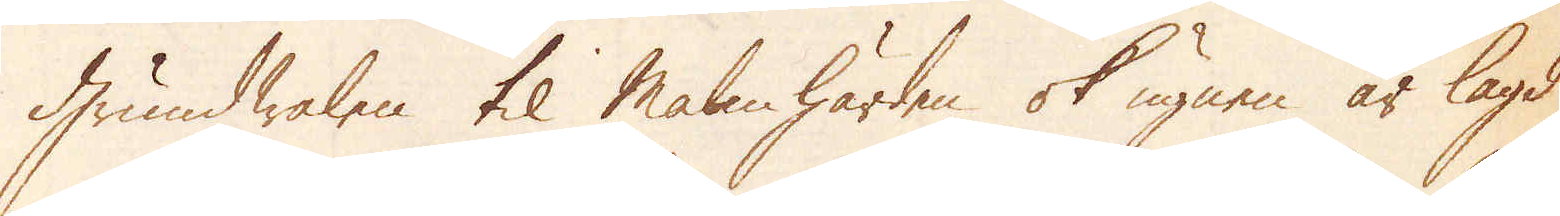Grundwalen til Malm härden ok ugnen är lagd
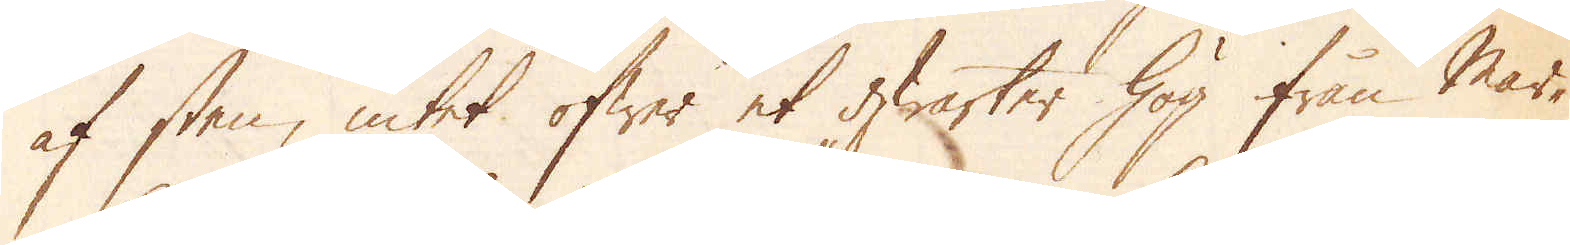af sten, intet öfwer et qwarter hög från Mar-
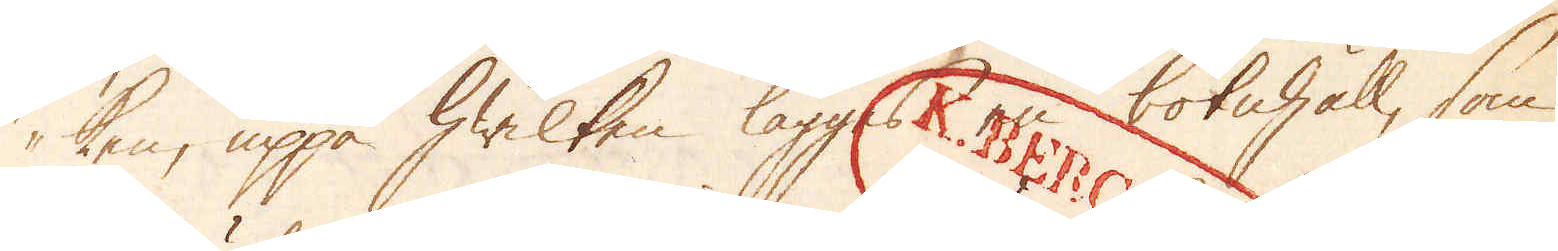ken, uppå hwilken lägges en botnhäll, som
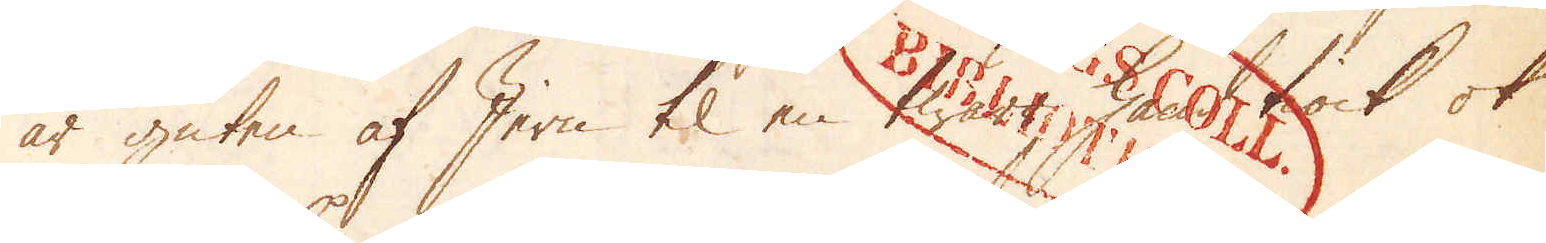är guten af Jern til en twär hand tiock ok
